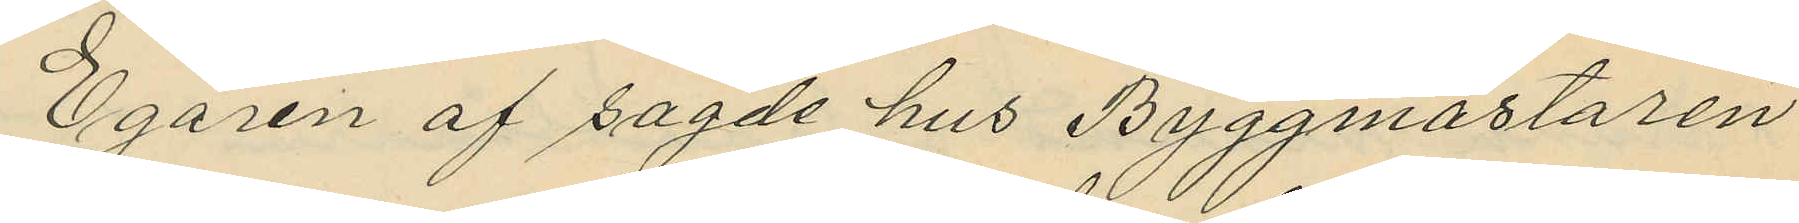Egaren af sagde hus Byggmästaren
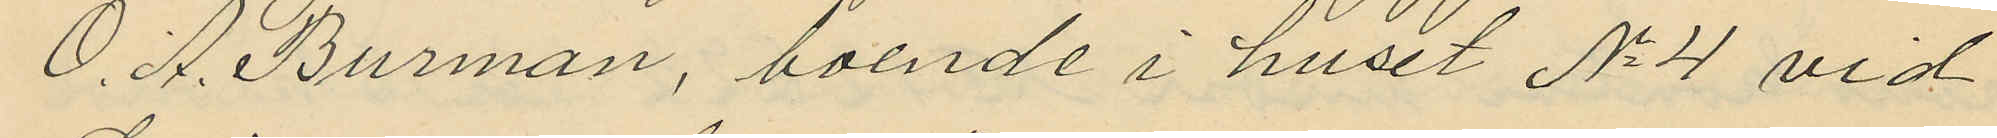O. A. Burman, boende i huset No 4 vid
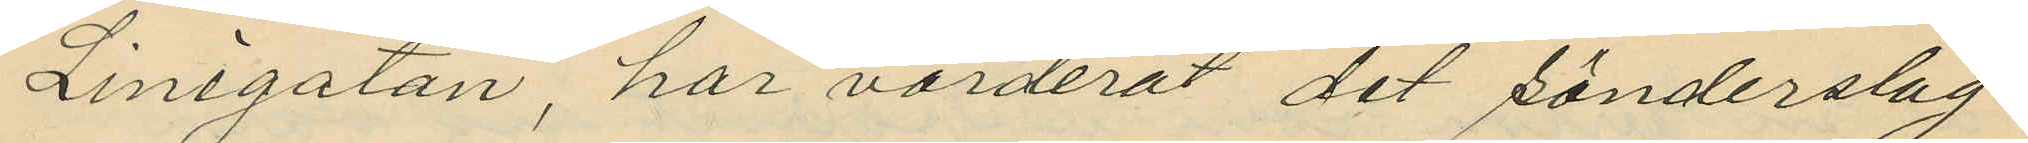Linégatan, har värderat det sönderslag¬
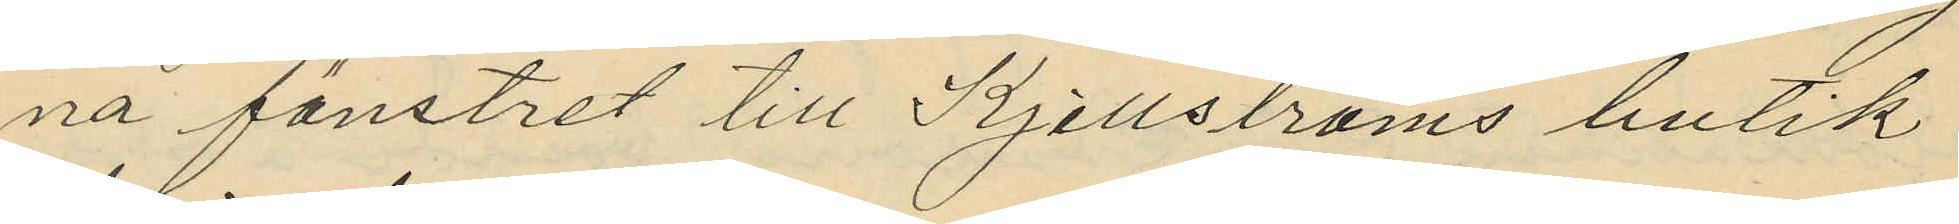na fönstret till Kjellströms butik
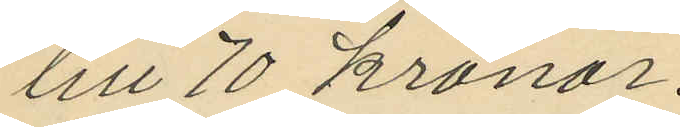till 70 kronor.
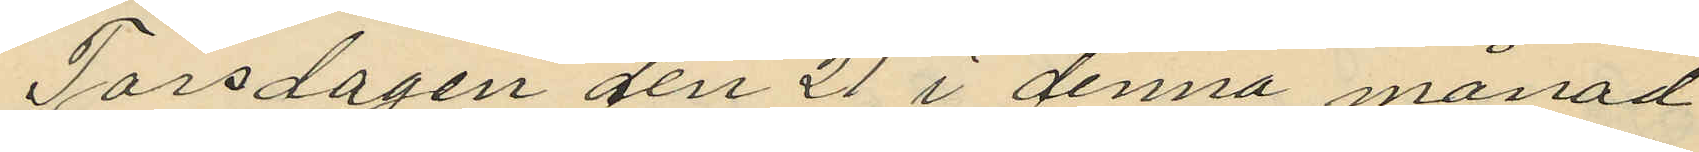Torsdagen den 21 i denna månad
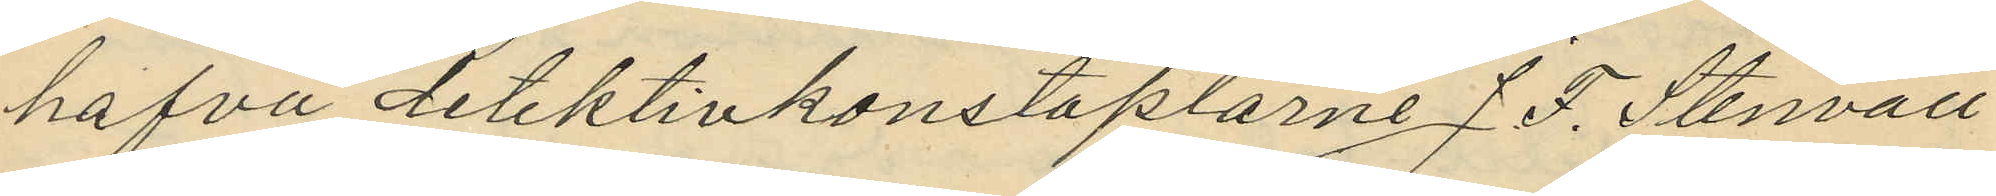hafva detektivkonstaplarne J. F. Stenvall
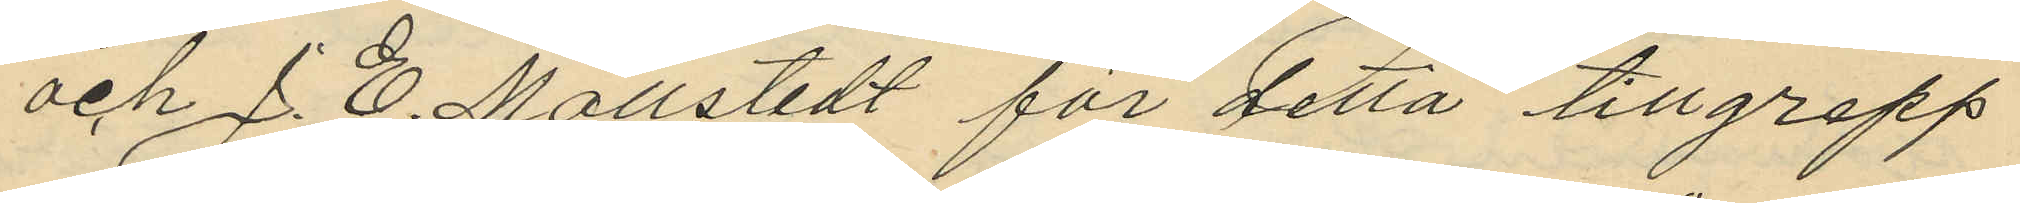och J. E. Mollstedt för detta tillgrepp
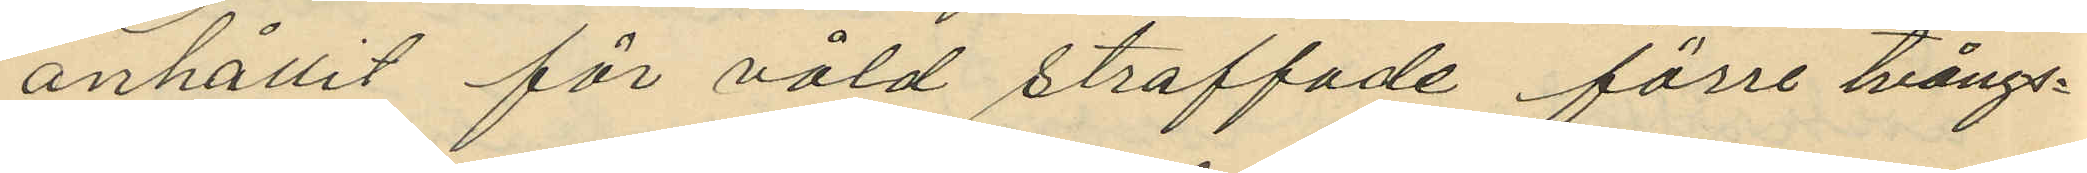anhållit för våld straffade förre tvångs¬
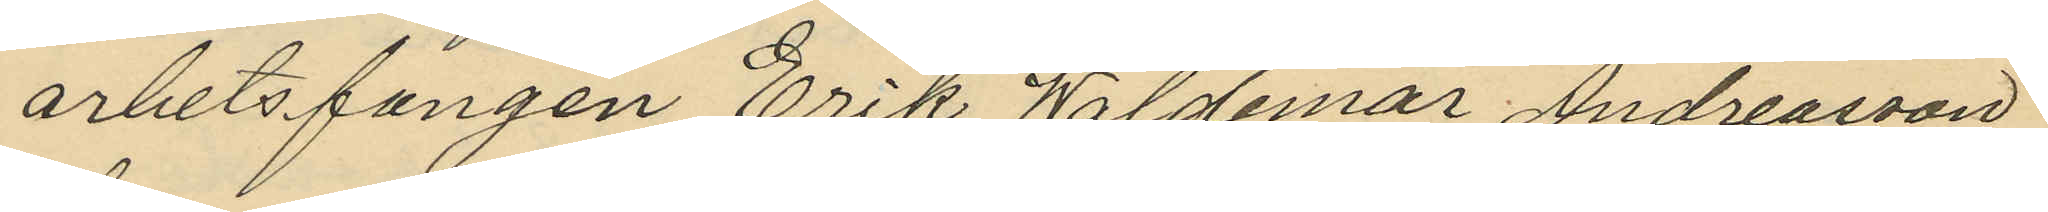arhetsfången Erik Waldemar Andreasson
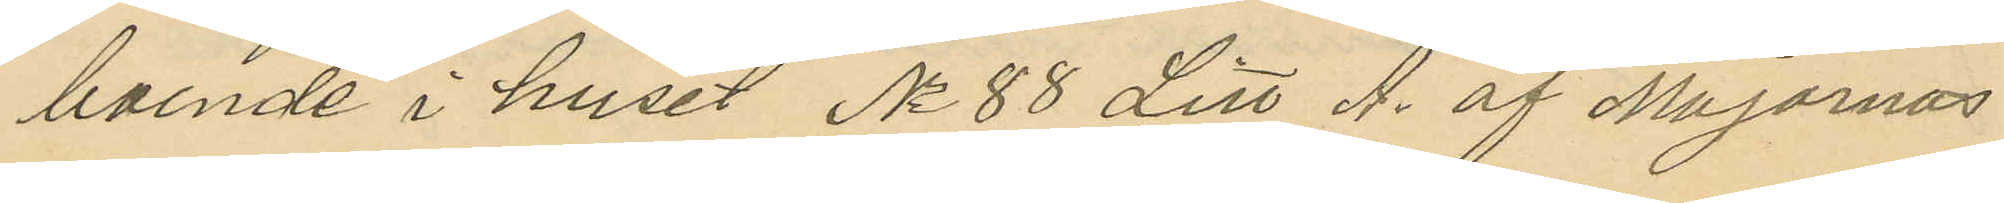boende i huset No 88 Litt A. af Majornas
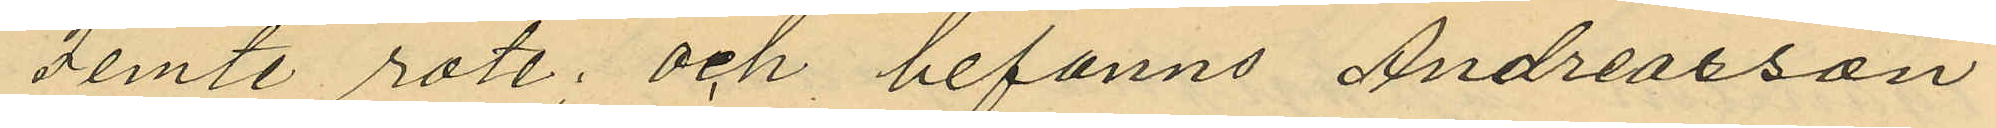Femte rote; och befanns Andreasson
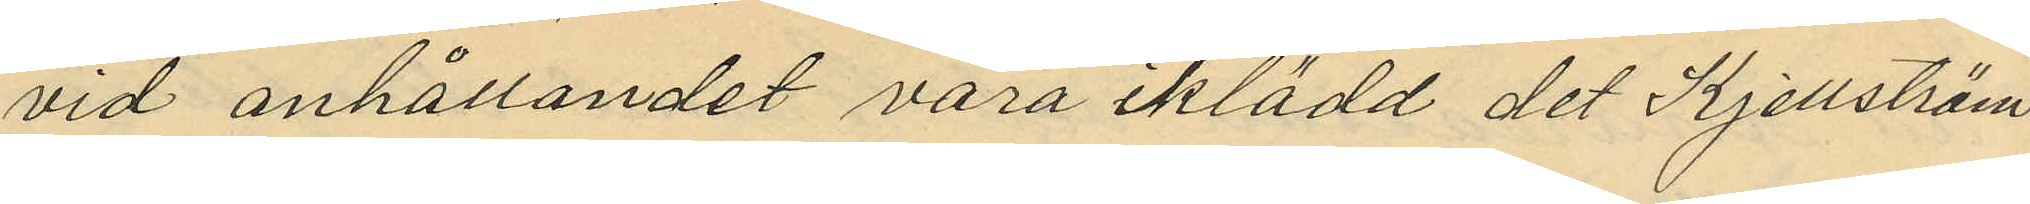vid anhållandet vara iklädd det Kjellström
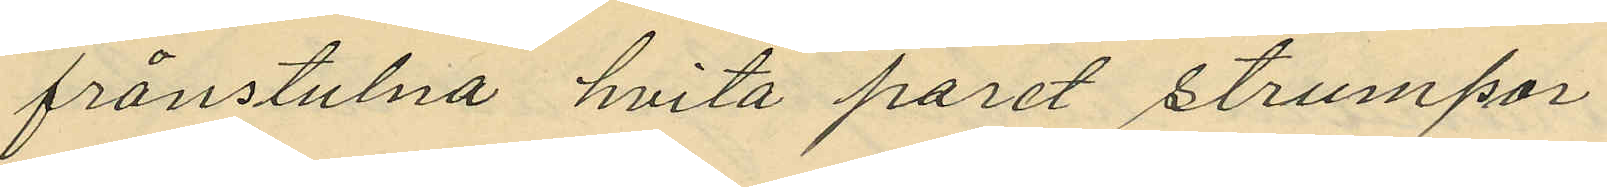frånstulna hvita paret strumpor
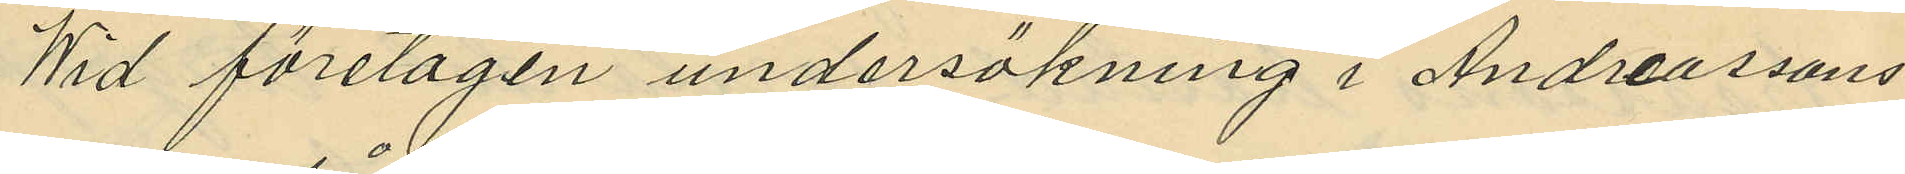Wid företagen undersökning i Andreassons
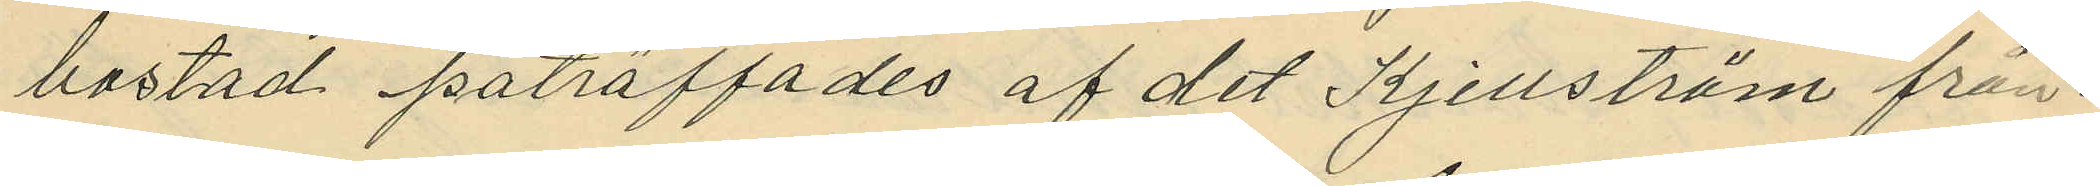bostad påträffades af det Kjellström från¬
